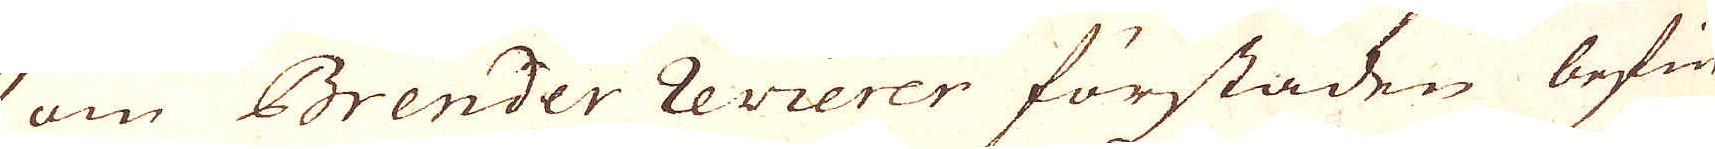om Brender revierer förstaden befin-
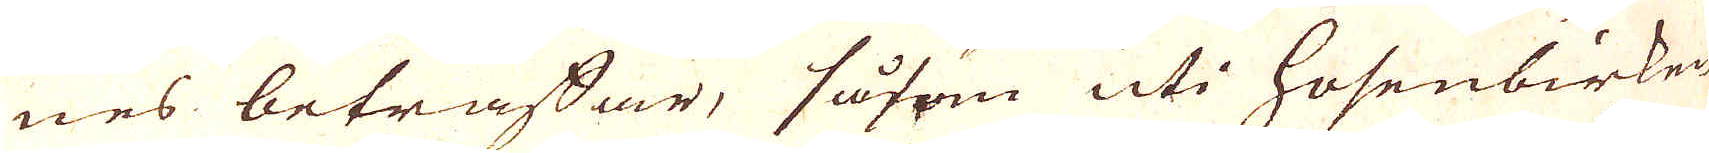nes beträffar, såsom uti Hosenbirken
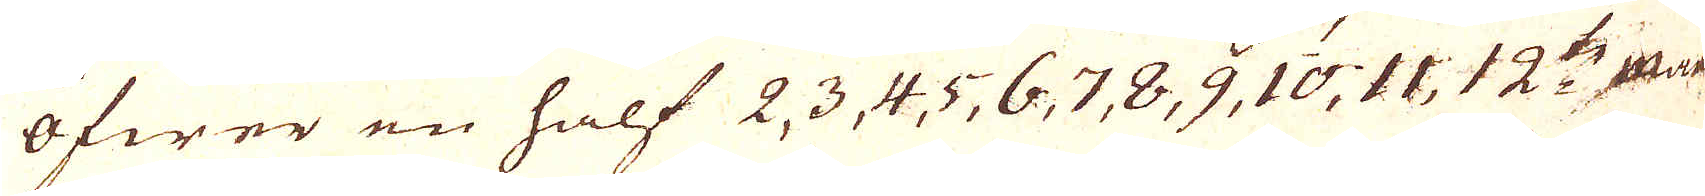öfwer en half 2, 3, 4, 5, 6, 7, 8, 9, 10, 11, 12:te Maas-
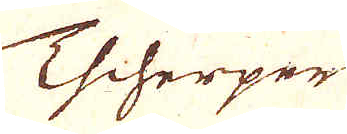Tscherper
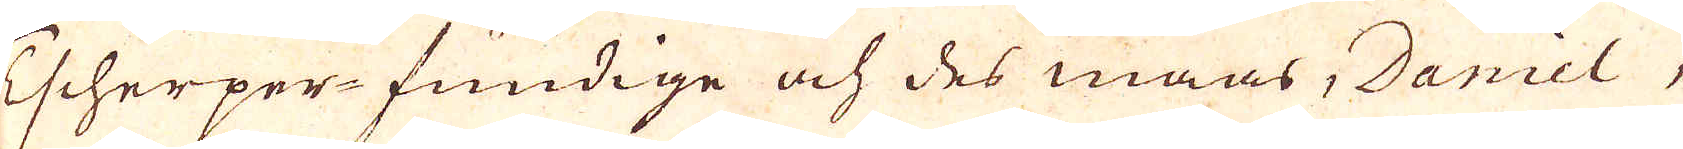Tscherper-fundige och des maas, Daniel,
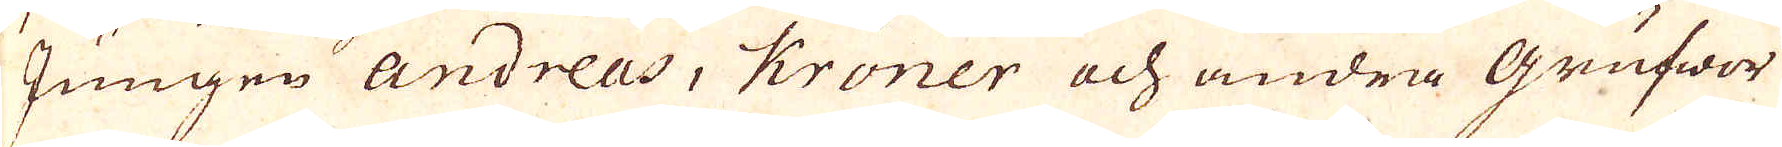Jungen Andreas, Kröner och andra Grufwer
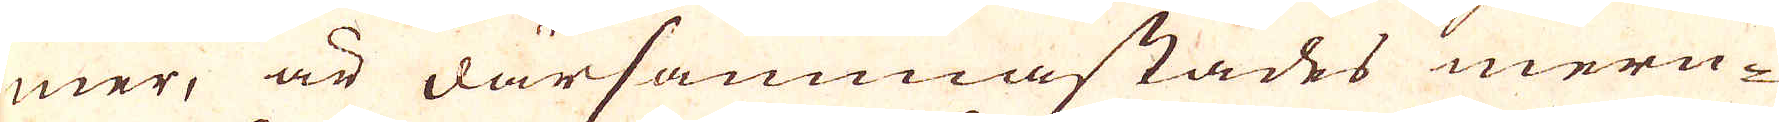mer, är därsammastades mern-
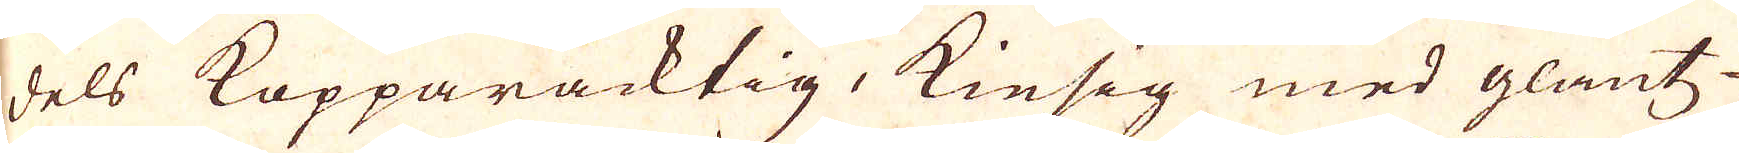dels Kopparacktig, Kiesig med glantz-
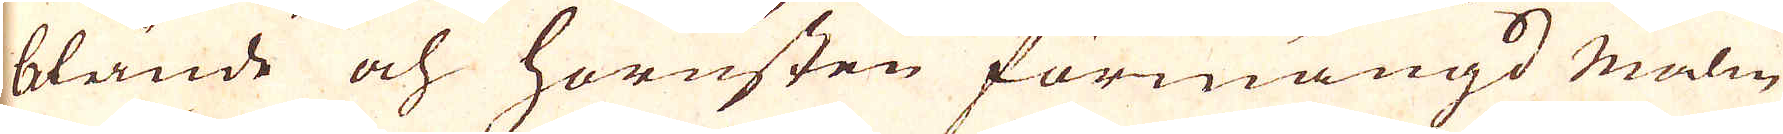blände och hornsten förmängd malm
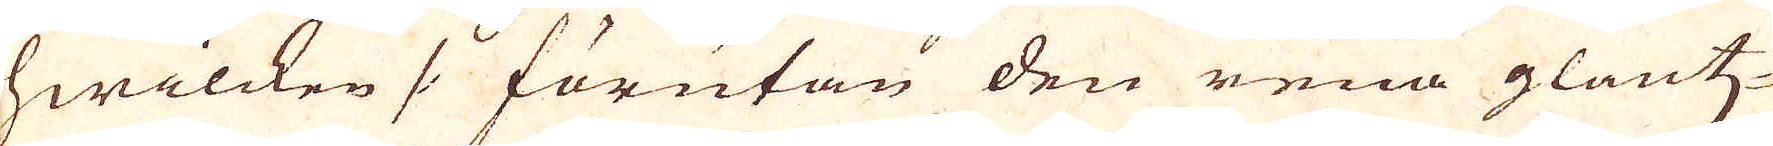hwilcken /: förutan den rena glantz-
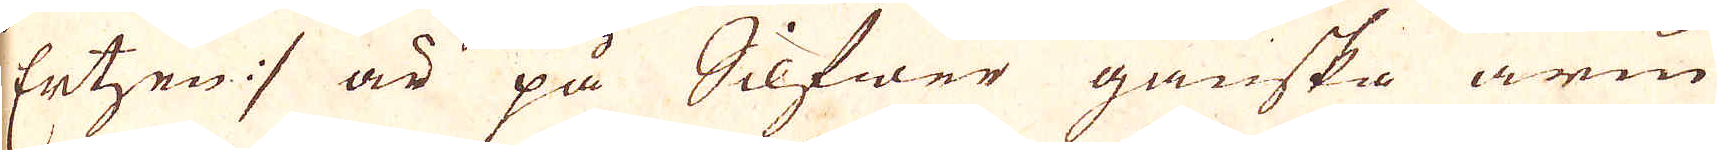Ertzen :/ är på Silfwer ganska arm
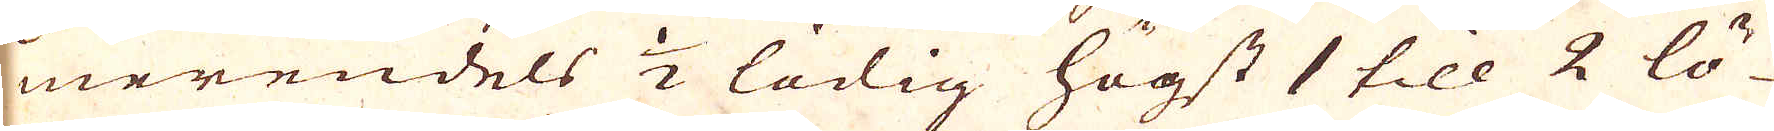merendels 1/2 lödig högst 1 till 2 lö-
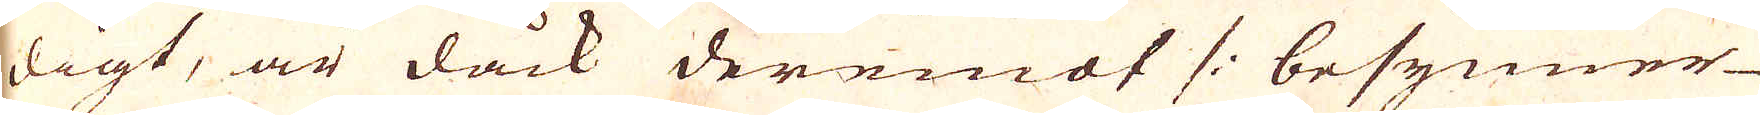digt, är dåck deremot /: besynner-
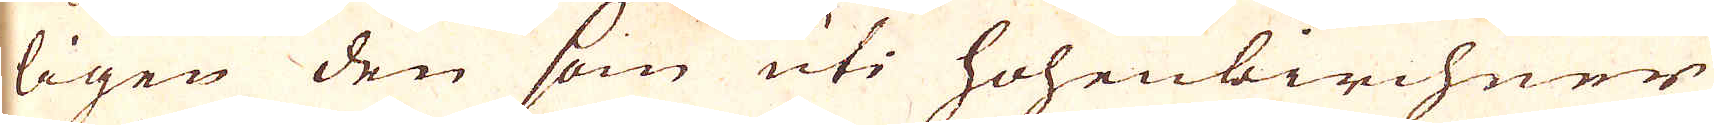ligen den som uti Hohenbirchner
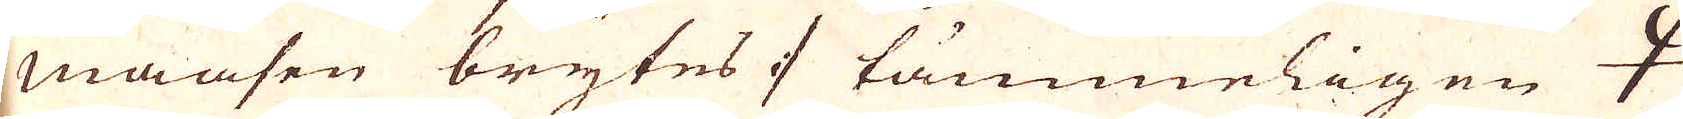Maasen brytes :/ tämmeligen 🝁
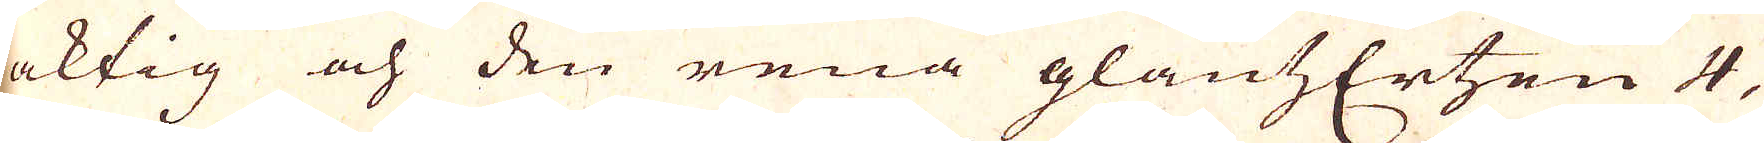aktig och den rena glantsErtzen 4,
